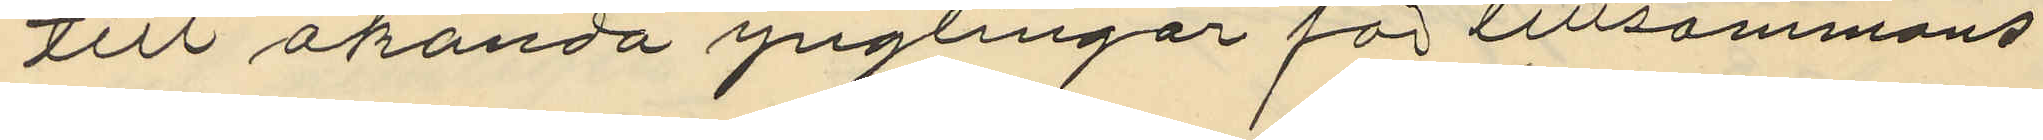till okända ynglingar för tillsammans
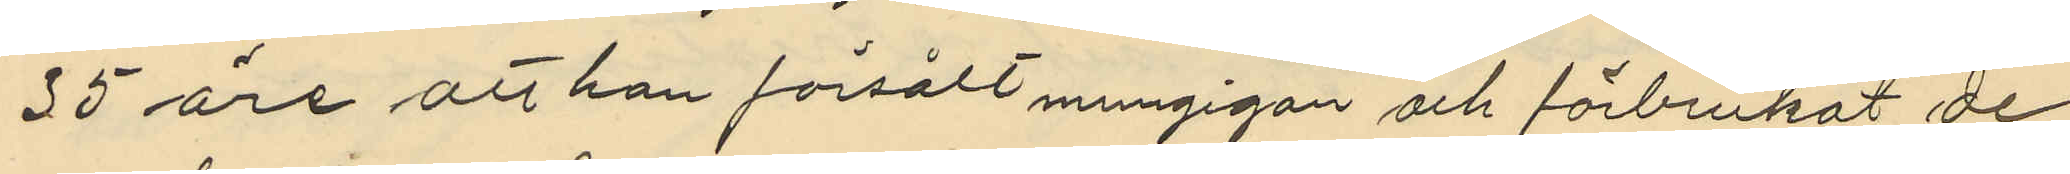35 öre att han försålt mungigan och förbrukat de
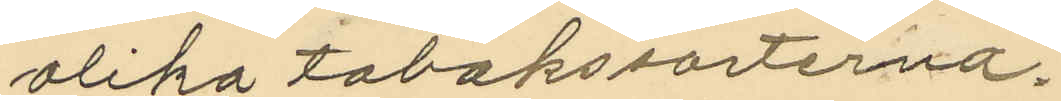olika tobakssorterna.
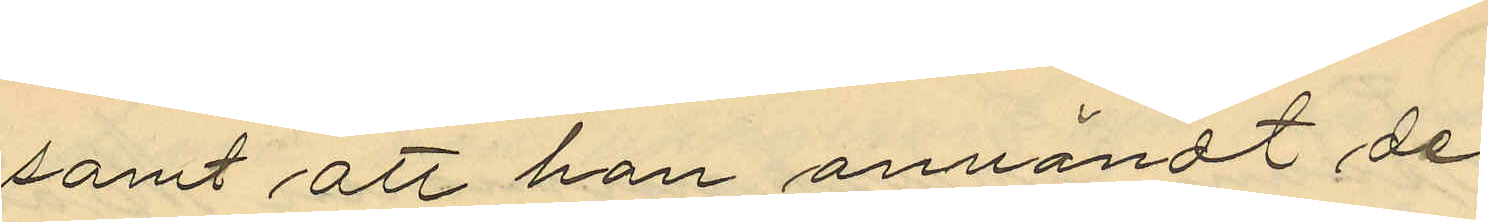samt att han användt de
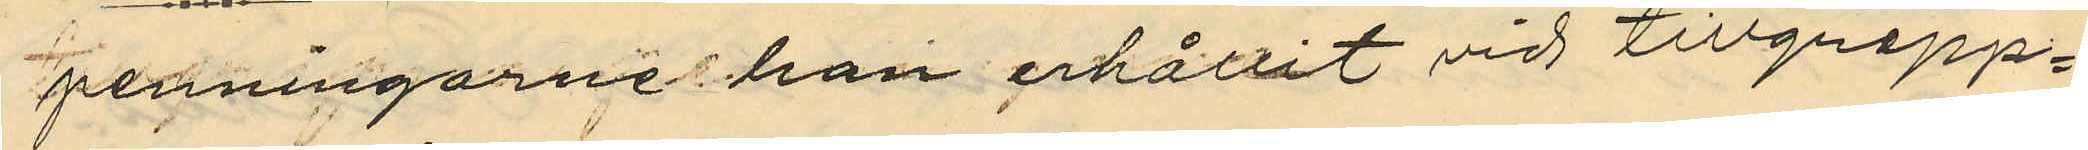penningarne han erhållit vid tillgrepp¬
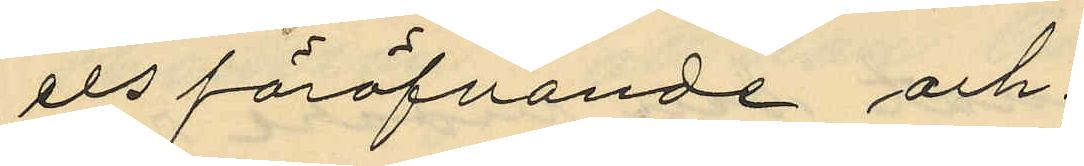ets föröfvande och.
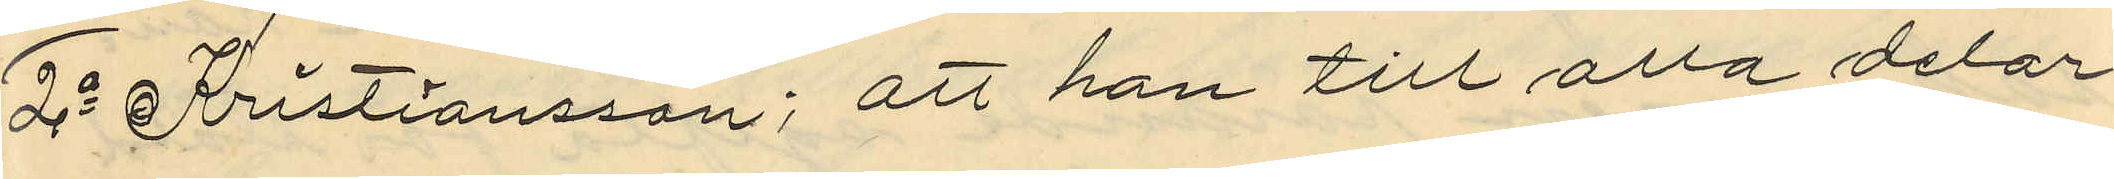2o Kristiansson; att han till alla delar
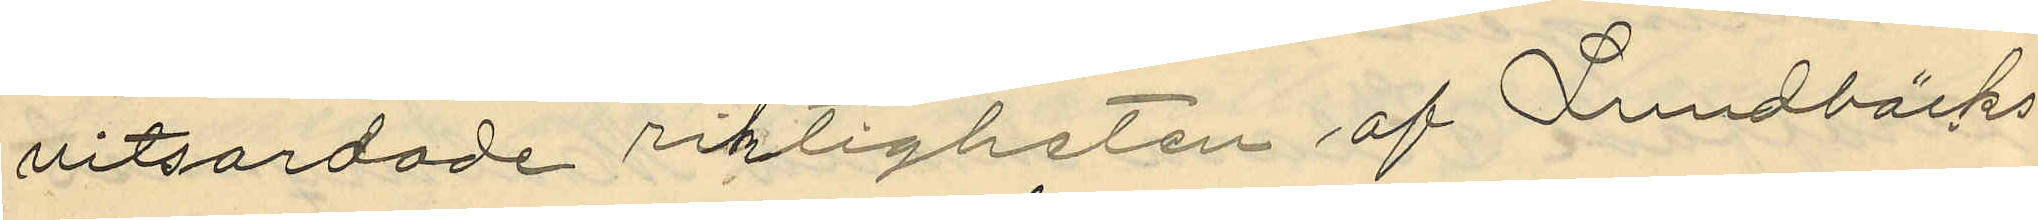vitsordade riktigheten af Lundbäcks
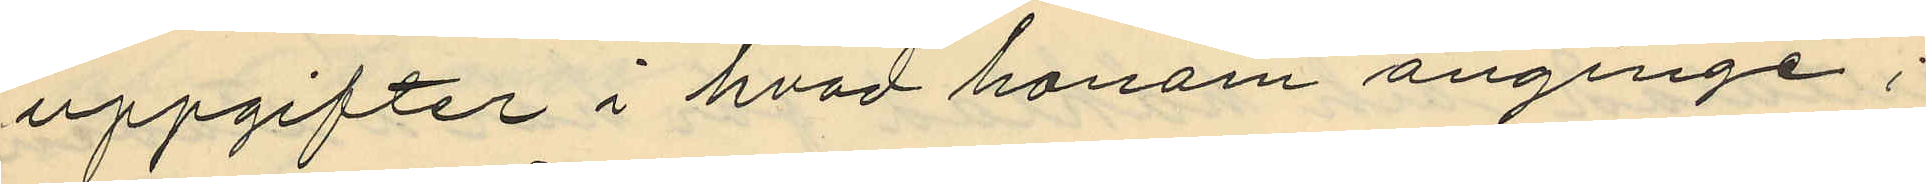uppgifter i hvad honom anginge;
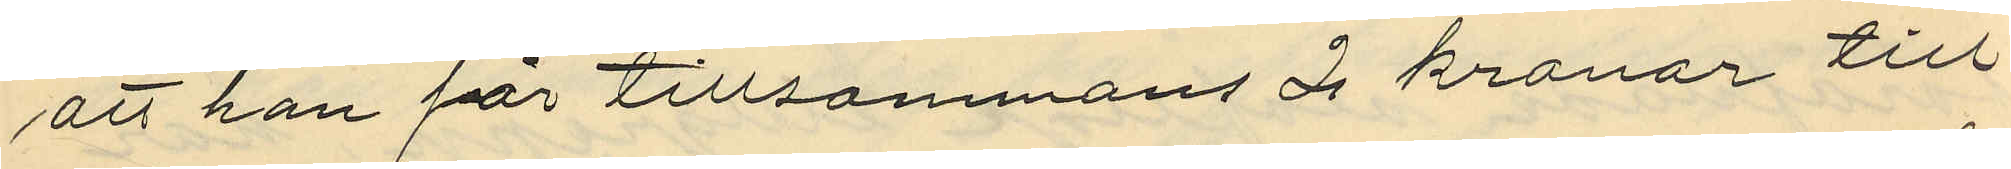att han för tillsammans 2 kronor till
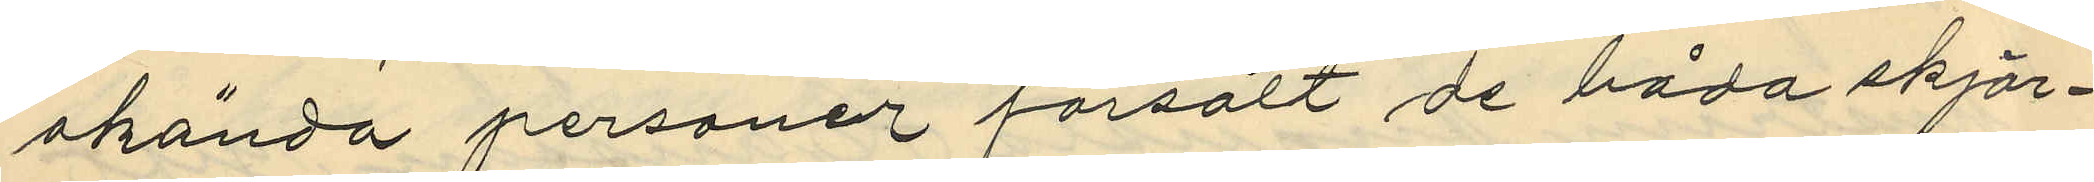okända personer försålt de båda skjor¬
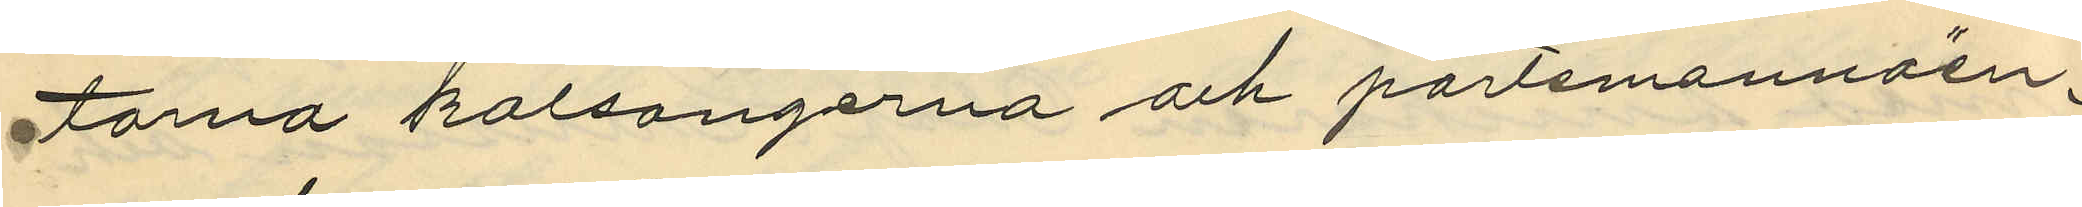torna kalsongerna och portmonnäen,
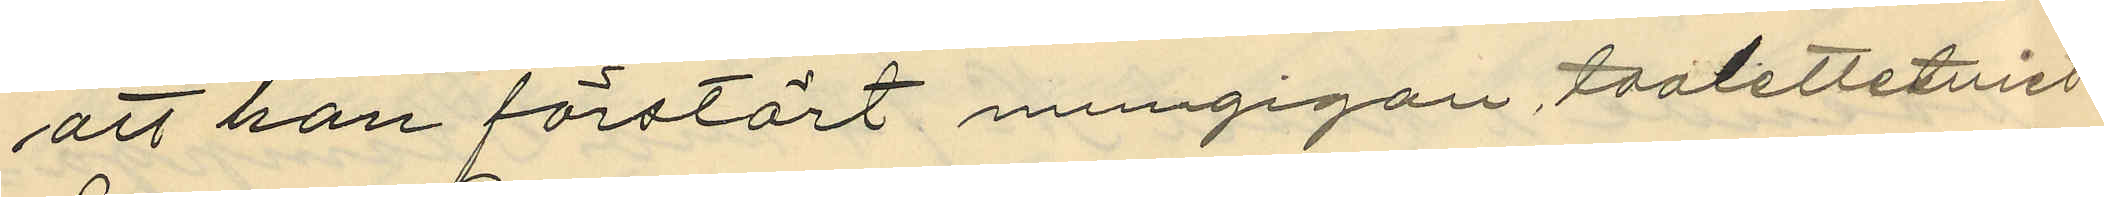att han förstört mungigan, toalettetuiet
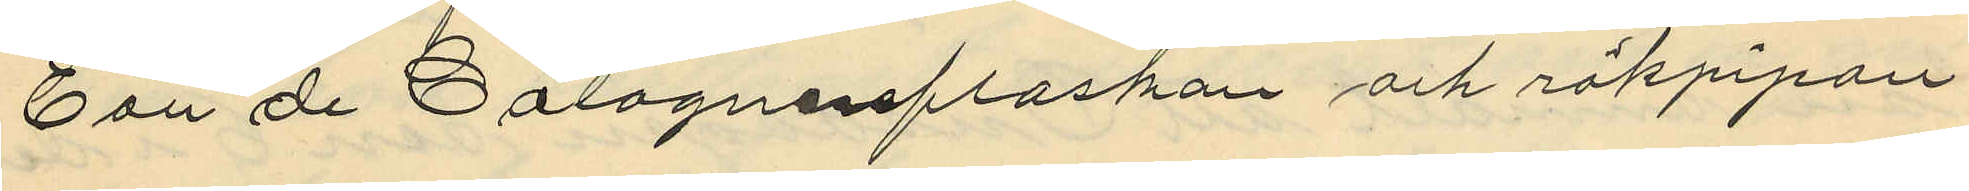Eau de Cologneflaskan och rökpipan,
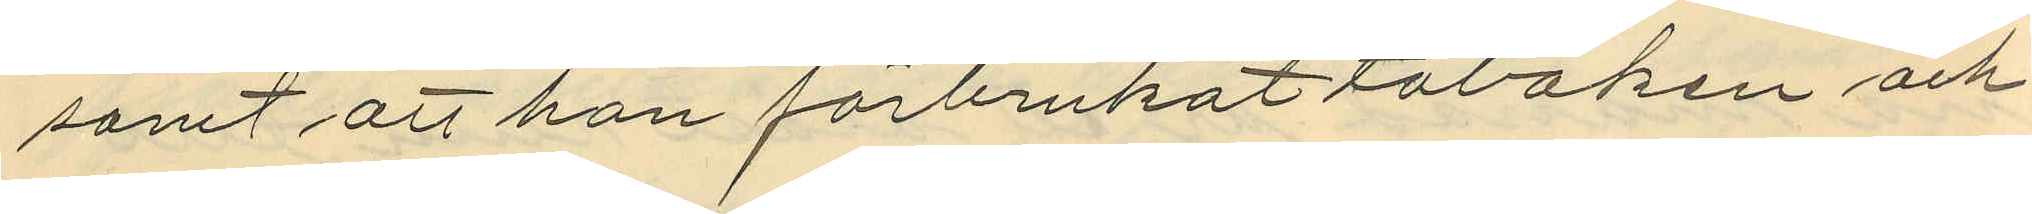samt att han förbrukat tobaken och
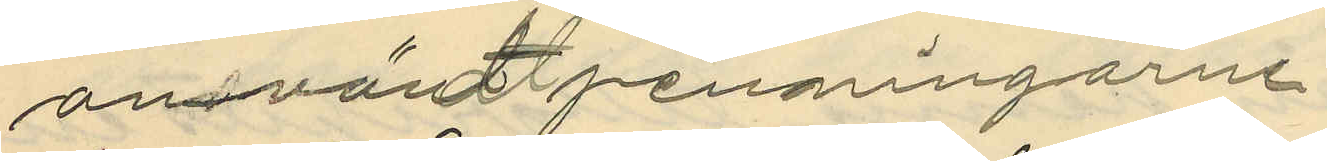användt penningarne.
